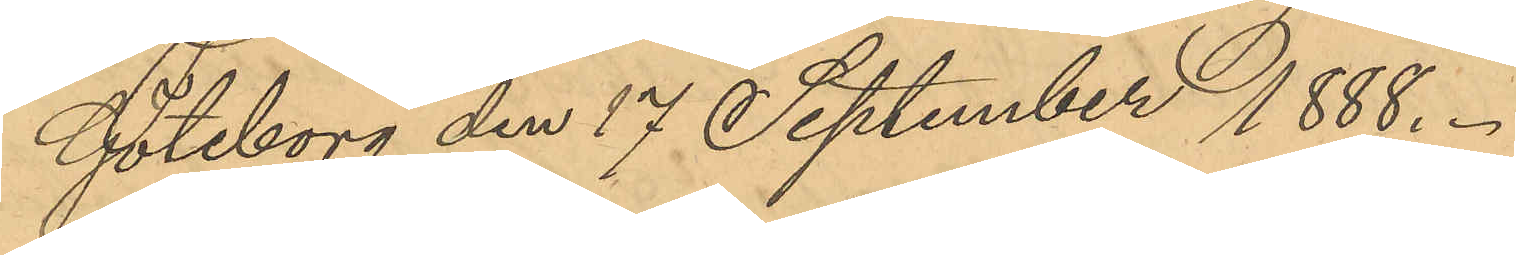Göteborg den 17 September 1888.
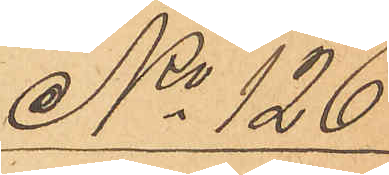No 126
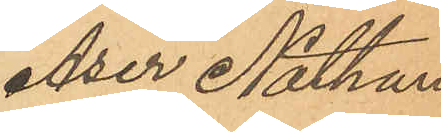Aser Nathan
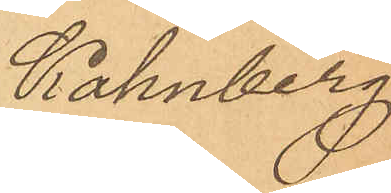Kahnberg.
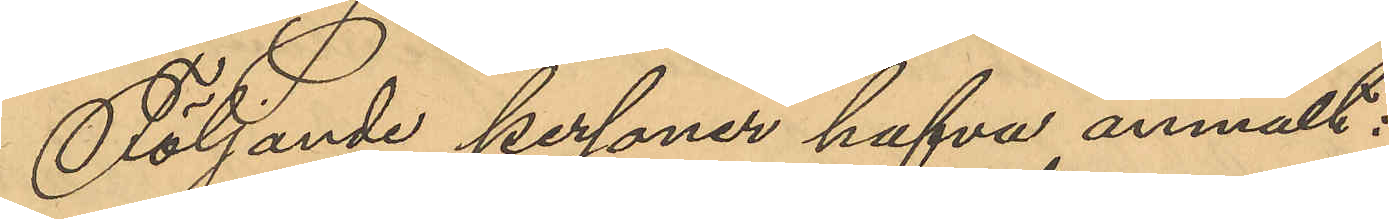Följande personer hafva anmält:
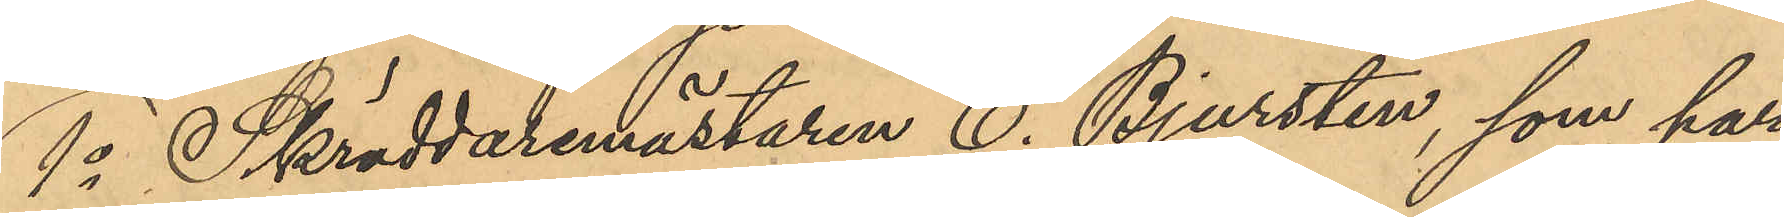1o Skräddaremästaren C. Bjursten, som har
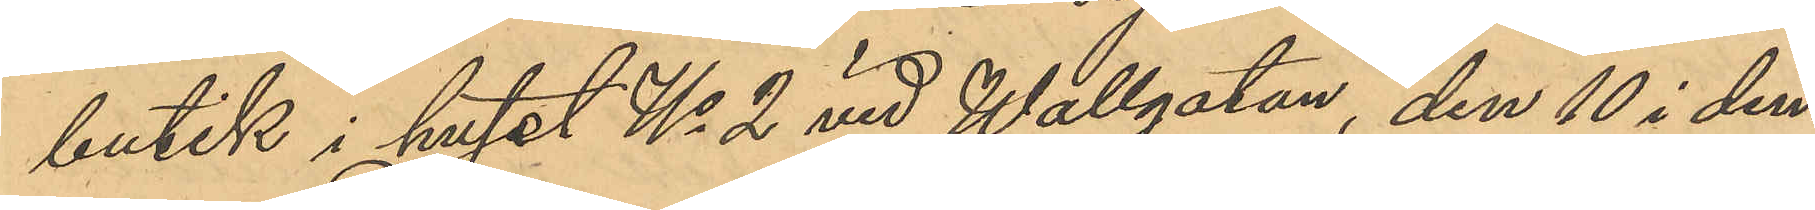butik i huset No 2 vid Wallgatan, den 10 i den¬
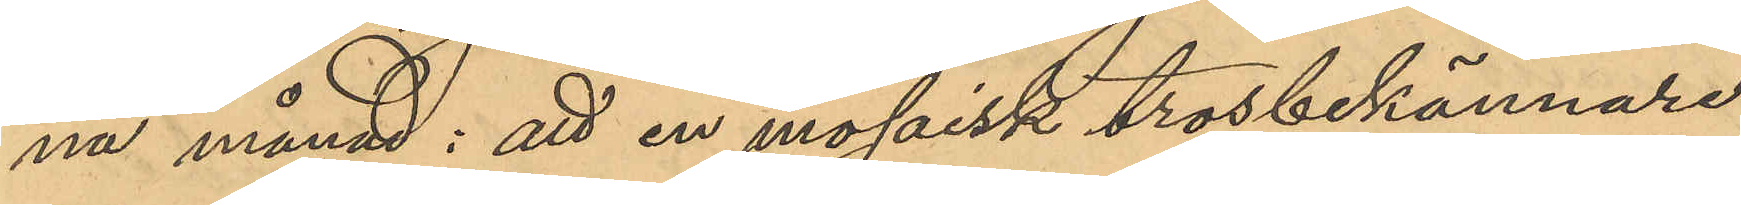na månad: att en mosaisk trosbekännare,
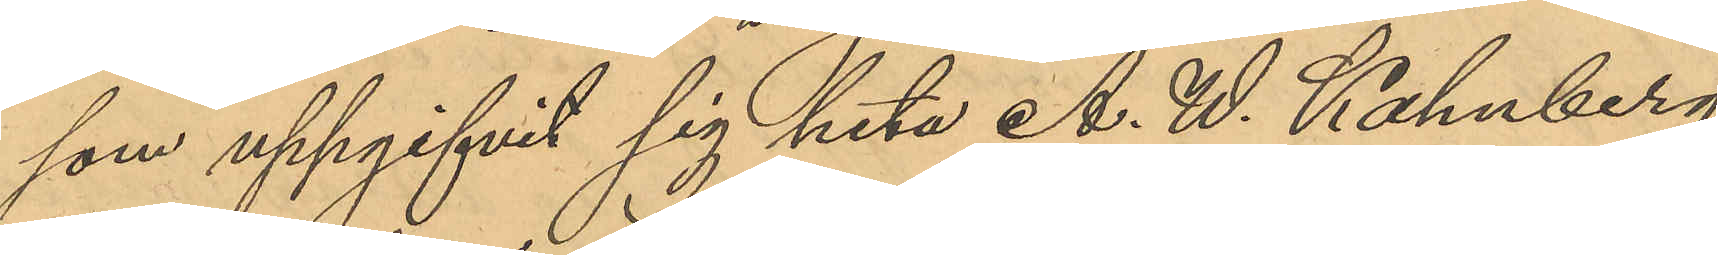som uppgifvit sig heta A.W. Kahnberg
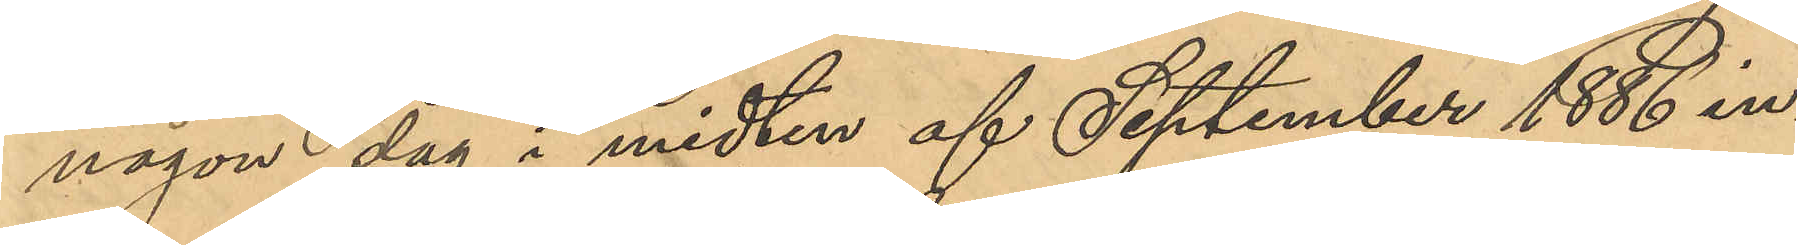någon dag i midten af September 1886 in¬
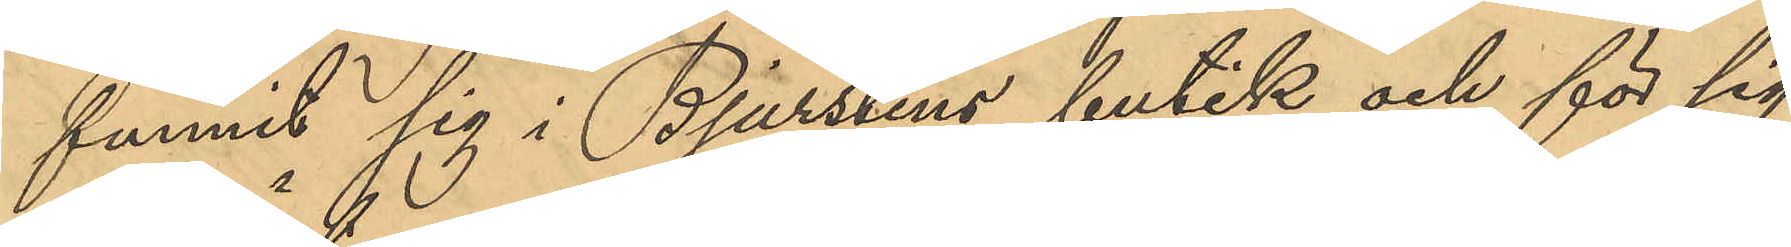funnit sig i Bjurstens butik och för sig
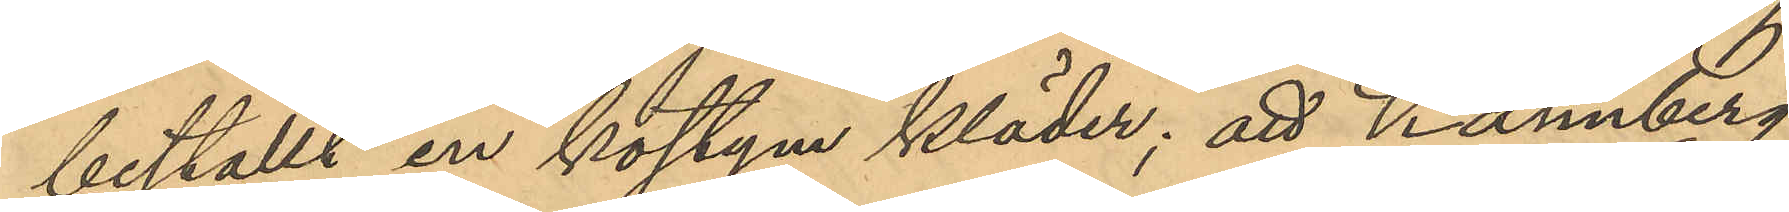beställt en kostym kläder; att Kahnberg
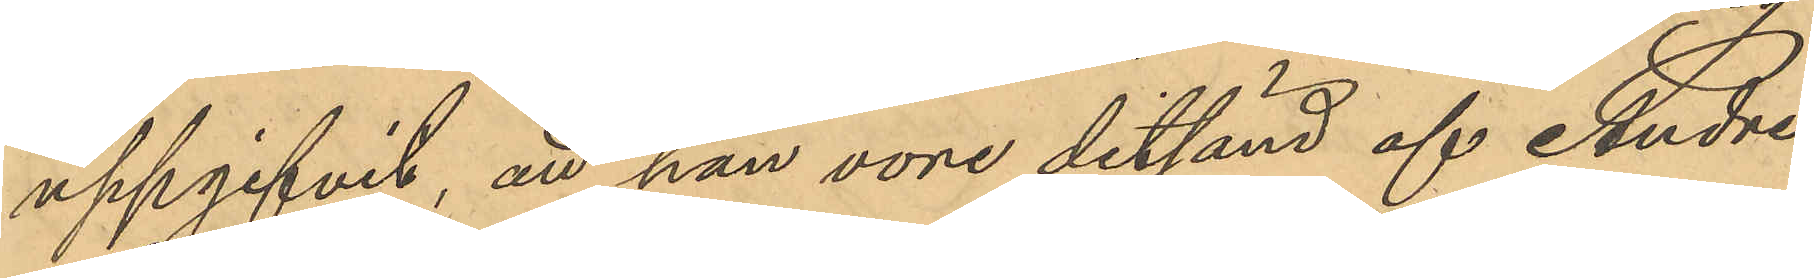uppgifvit, att han vore ditsänd af Andre
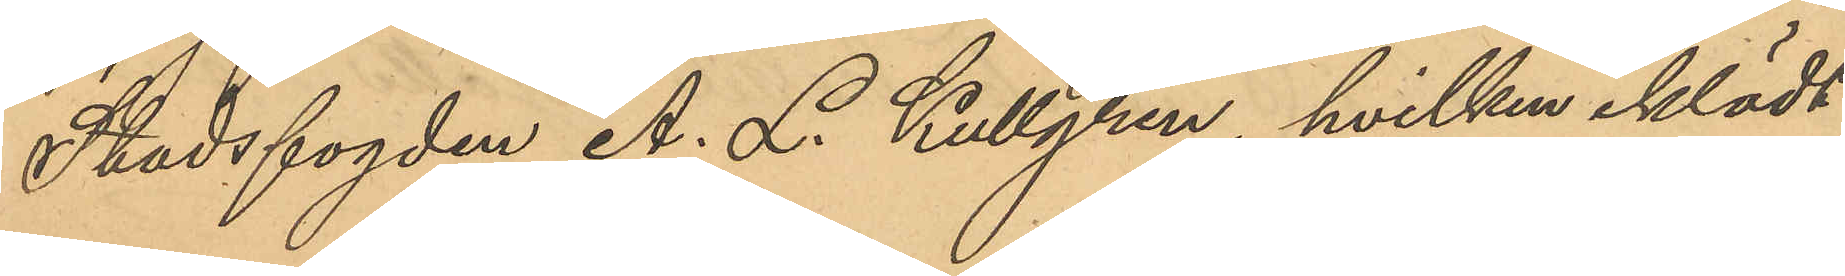Stadsfogden A. L. Kullgren, hvilken iklädt
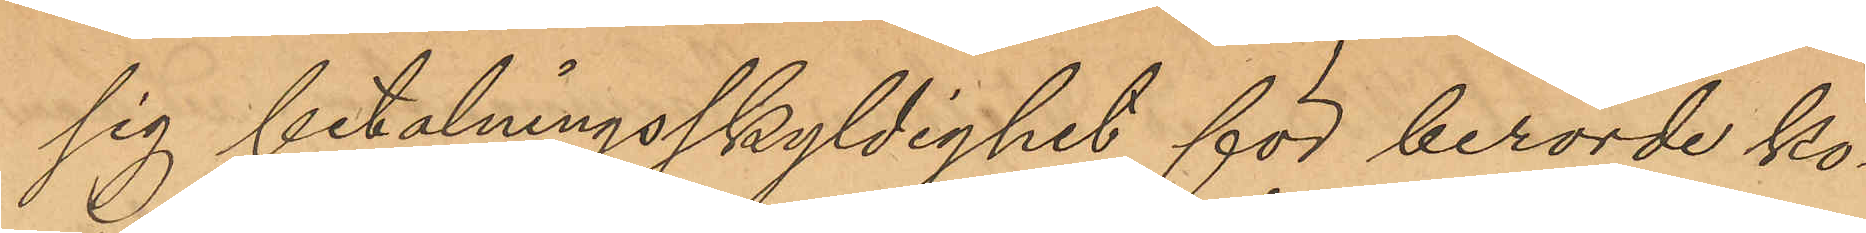sig betalningsskyldighet för berörde ko¬
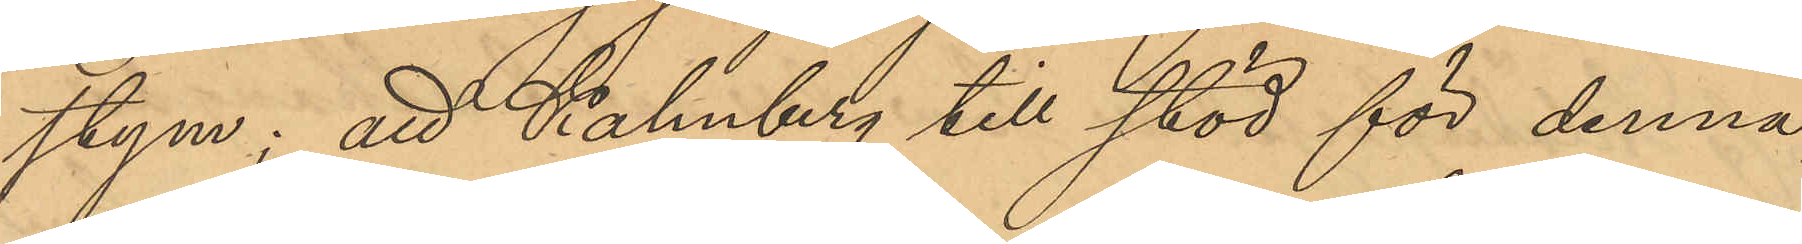stym; att Kahnberg till stöd för denna
